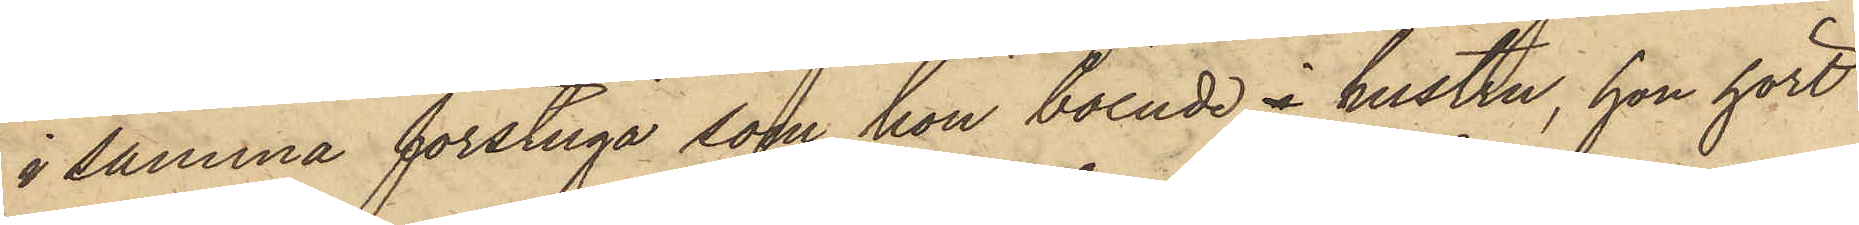i samma förstuga som hon boende i hustru, hon hört
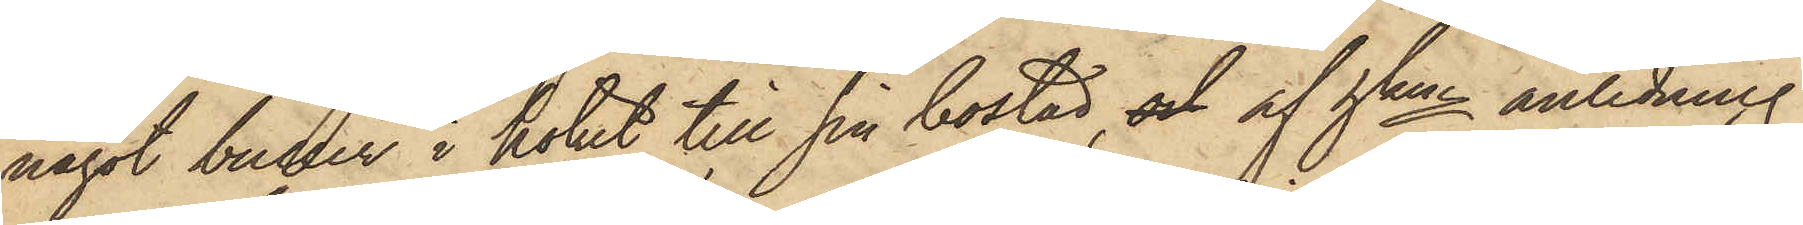något buller i köket till sin bostad, och af hken anledning
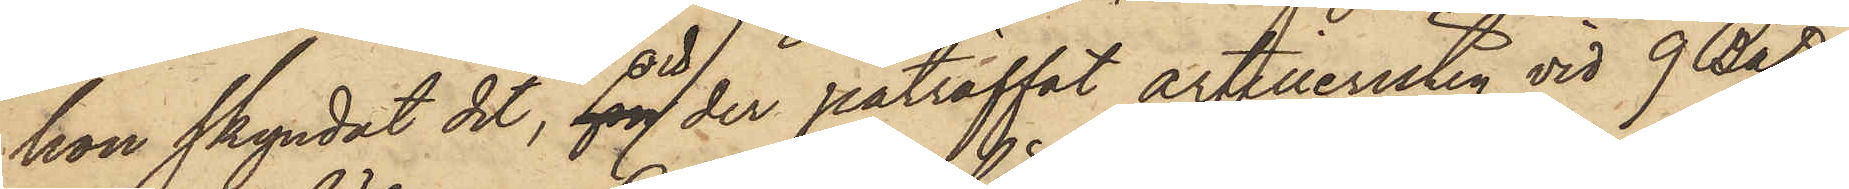hon skyndat dit, och der påträffat artilleristen vid 9 Batt.
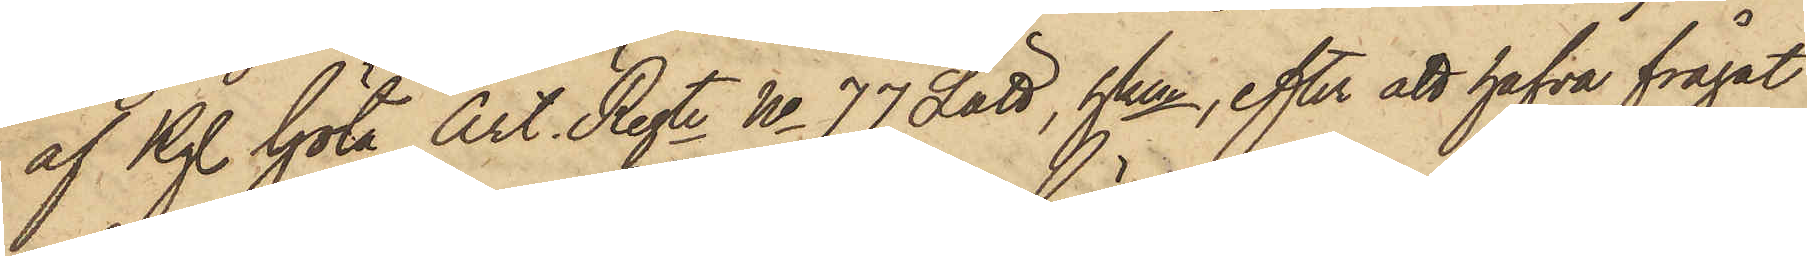af Kgl. Göta Art. Regte No 77 Lätt, hken, efter att hafva frågat
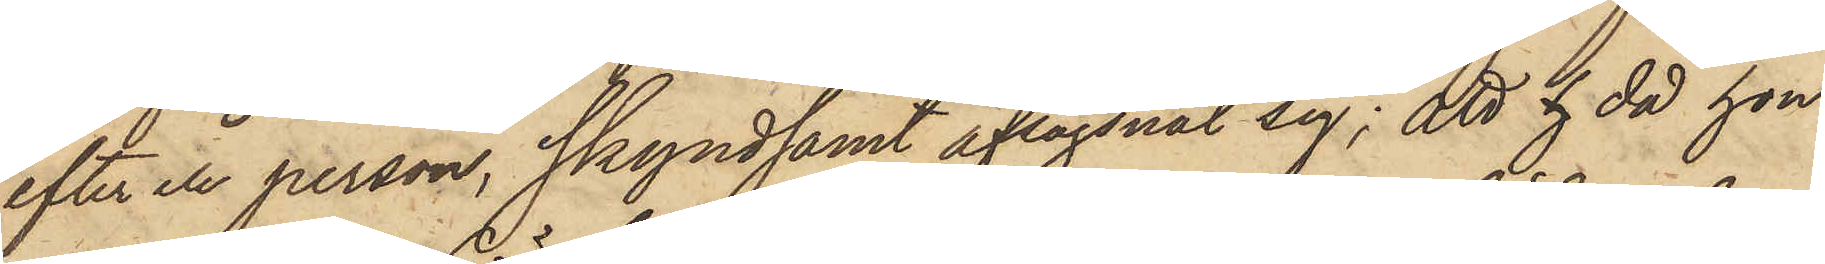efter en person, skyndsamt aflägsnat sig; att h då hon
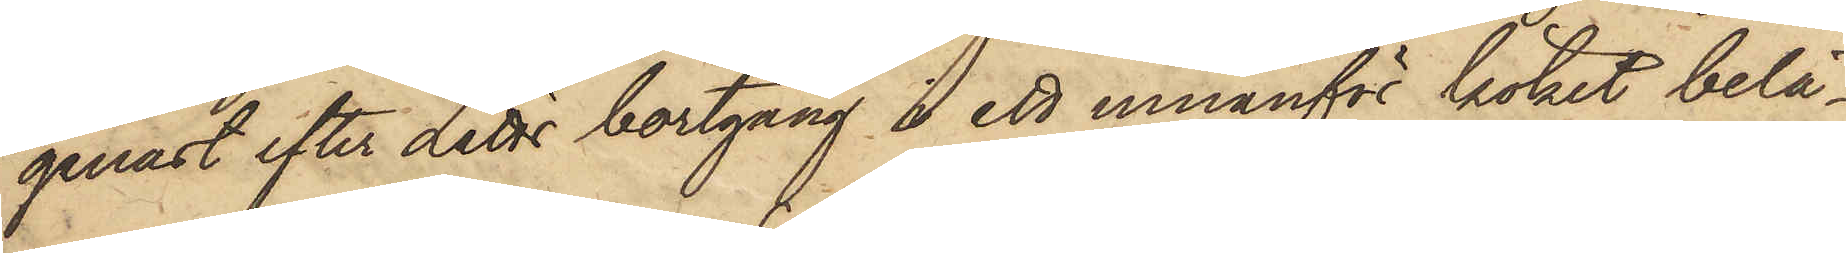genast efter Lätts bortgång i ett innanför köket belä¬
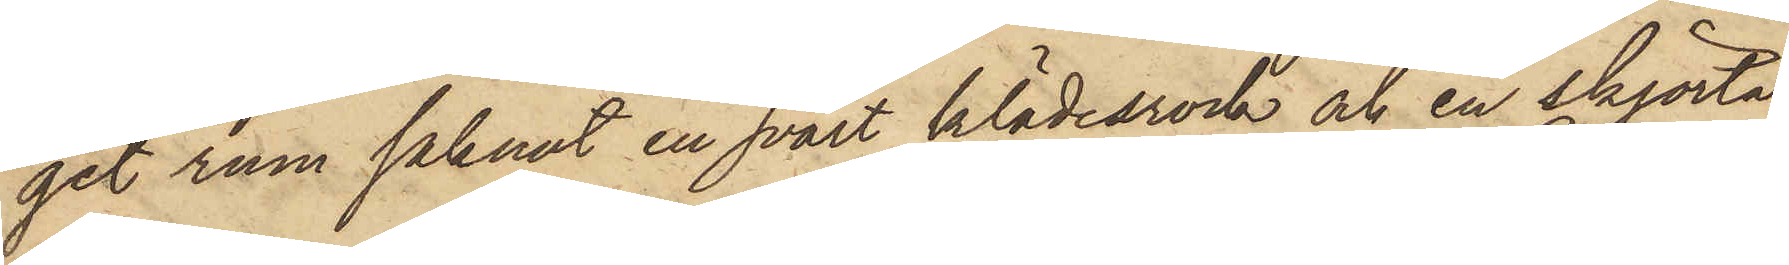get rum saknat en svart klädesrock och en skjorta,
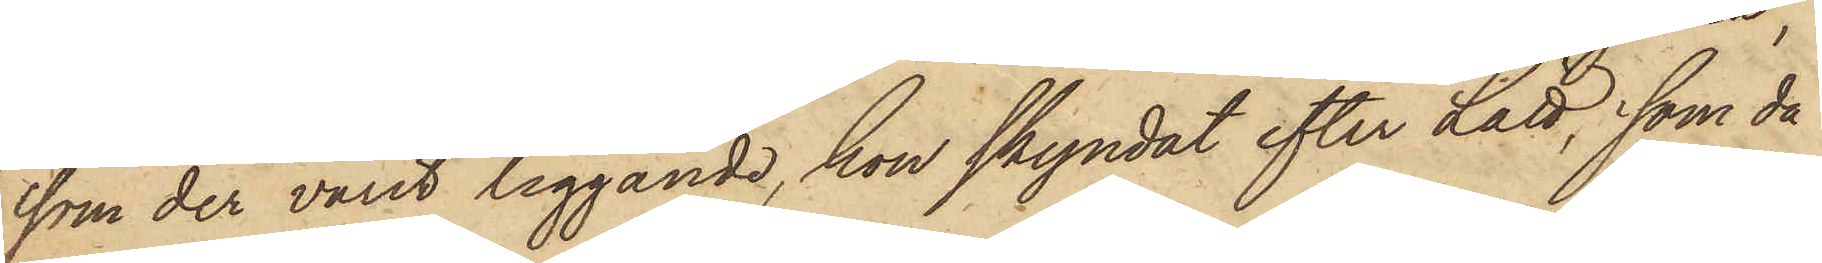som der varit liggande, hon skyndat efter Lätt, som då
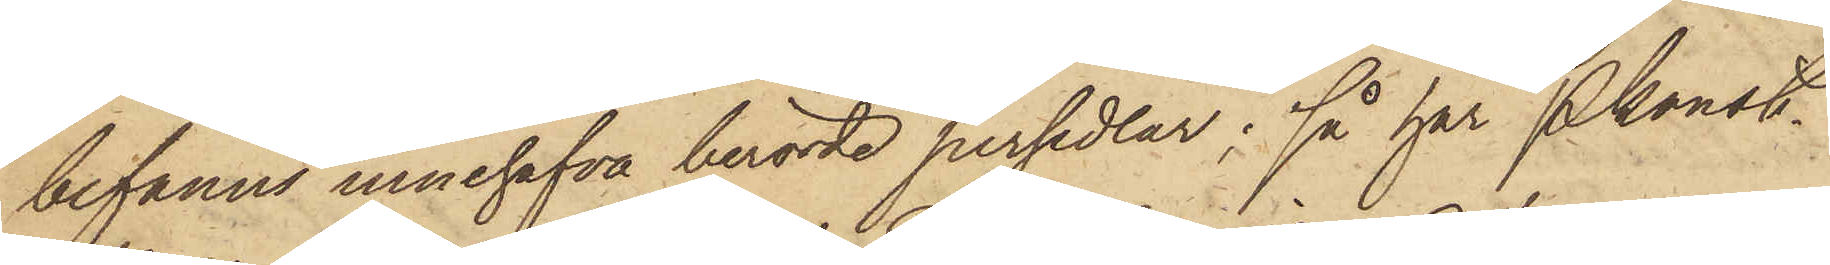befanns innehafva berörde persedlar; så har Pkonst.
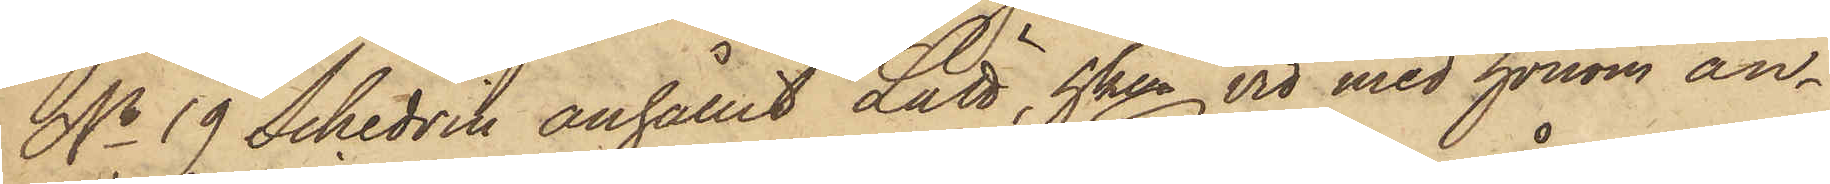No 19 Schedvin anhållit Lätt, hken vid med honom an¬
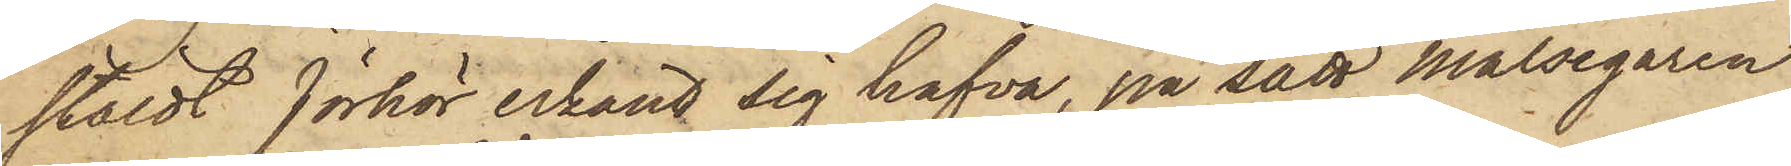stäldt förhör erkänt sig hafva, på sätt Målsegaren
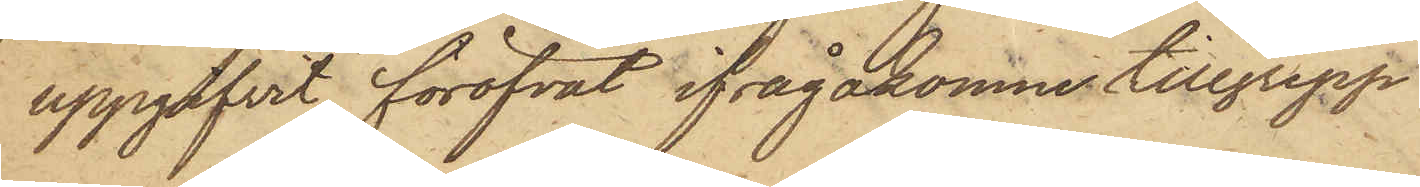uppgifvit, föröfvat ifrågakomne tillgrepp.
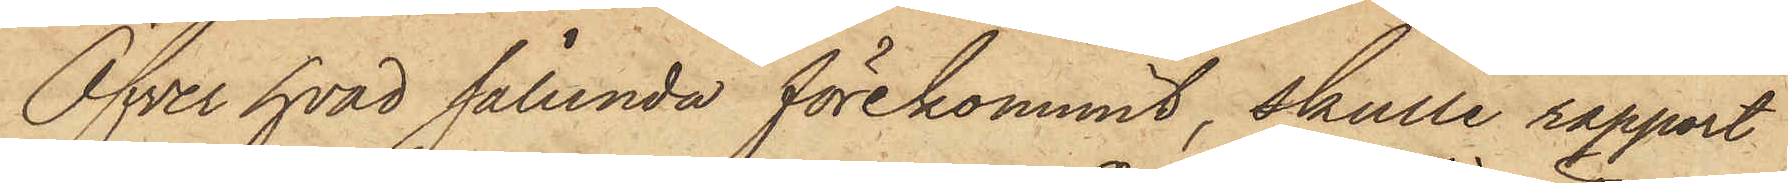Öfver hvad sålunda förekommit, skulle rapport
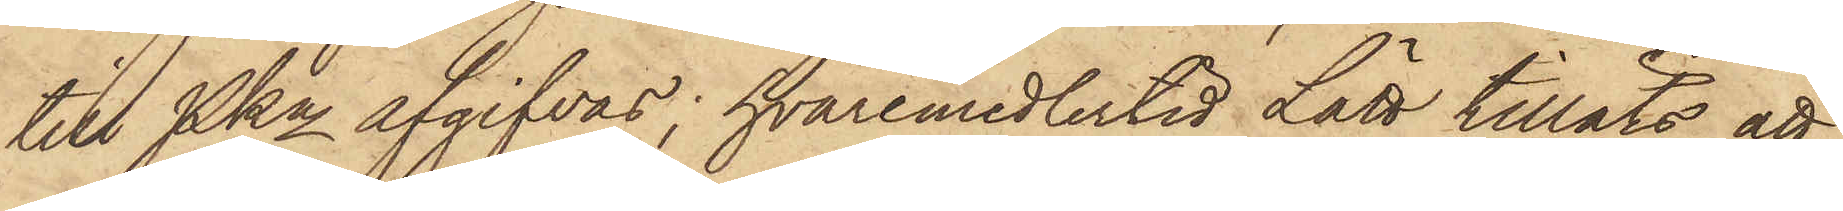till PKn afgifvas; hvaremedlertid Lätt tilläts att
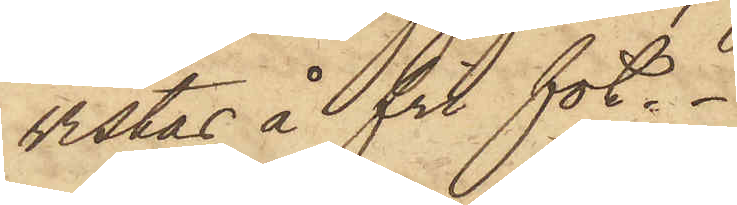vistas å fri fot.
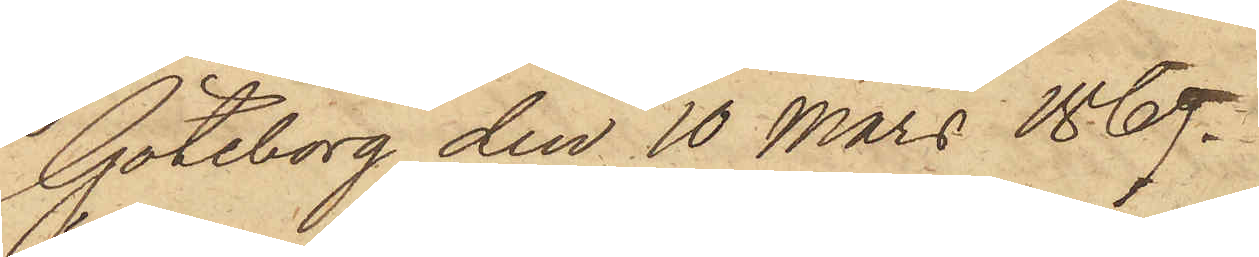Göteborg den 10 Mars 1869.
